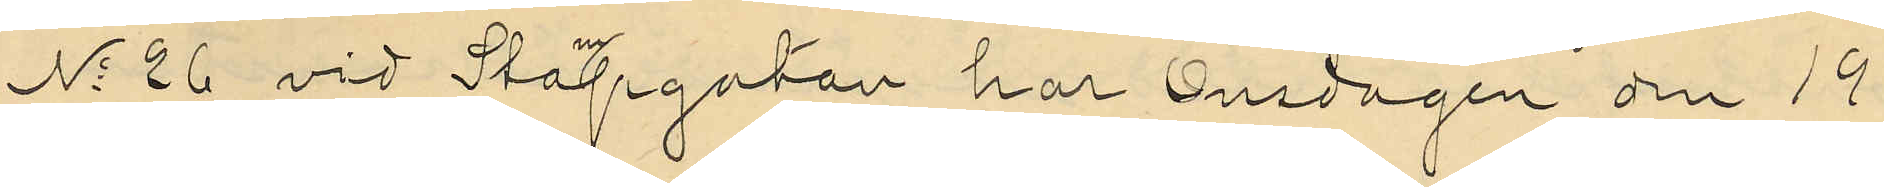No 26 vid Stampgatan har Onsdagen den 19
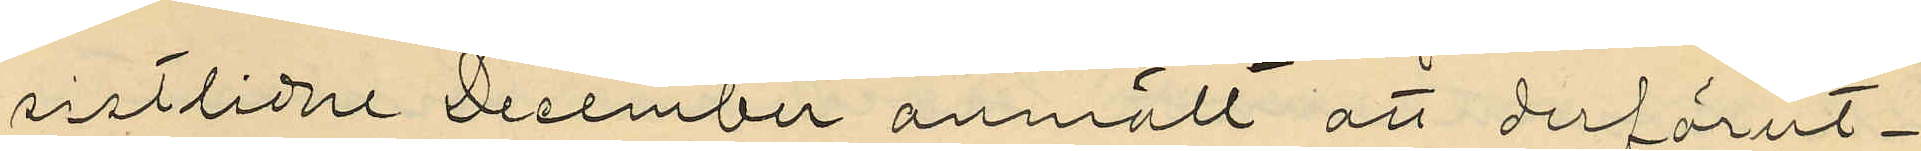sistlidne December anmält att derförut¬
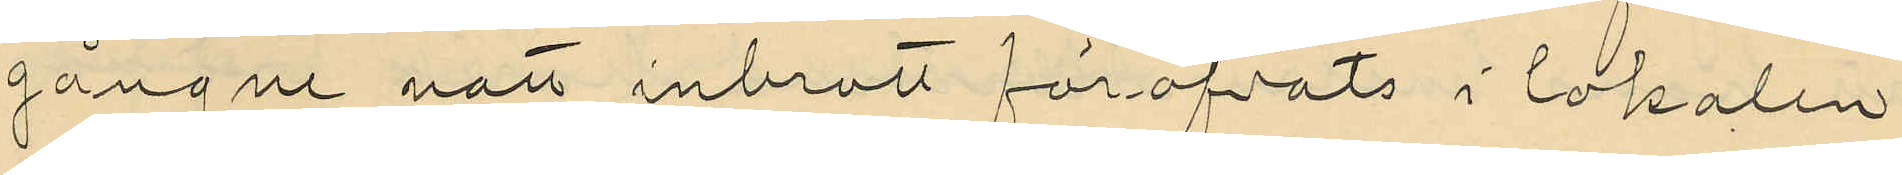gångne natt inbrott föröfvats i lokalen
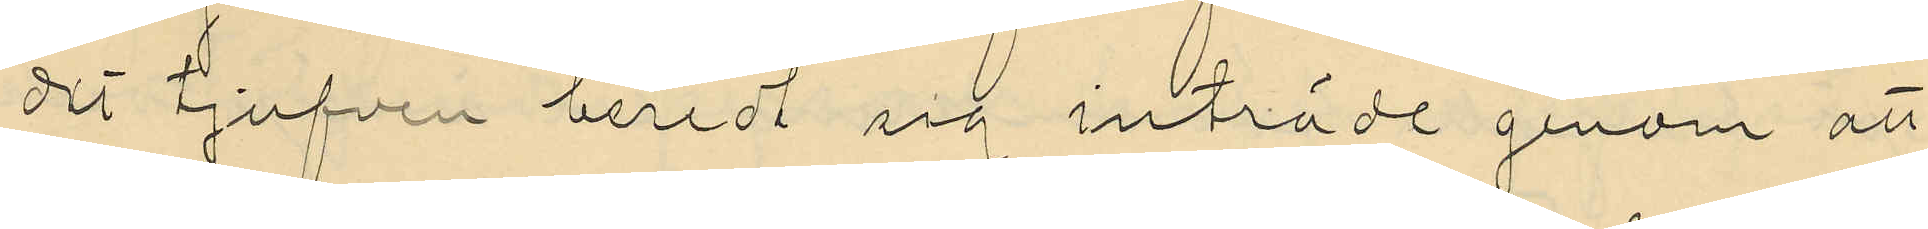dit tjufven beredt sig inträde genom att
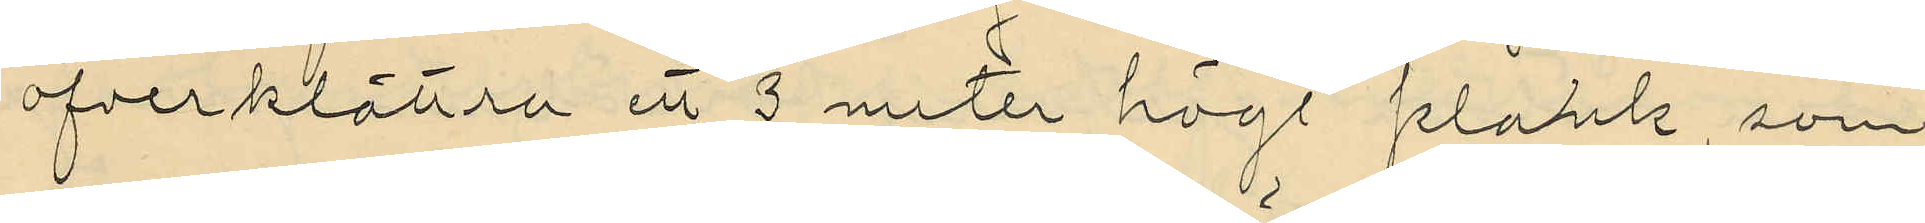öfverklättra ett 3 meter högt plank, som
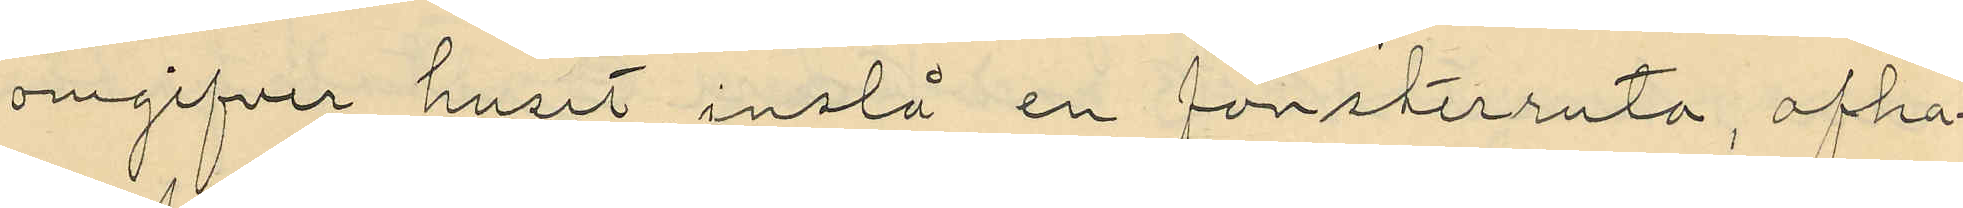omgifver huset, inslå en fönsterruta, afha¬
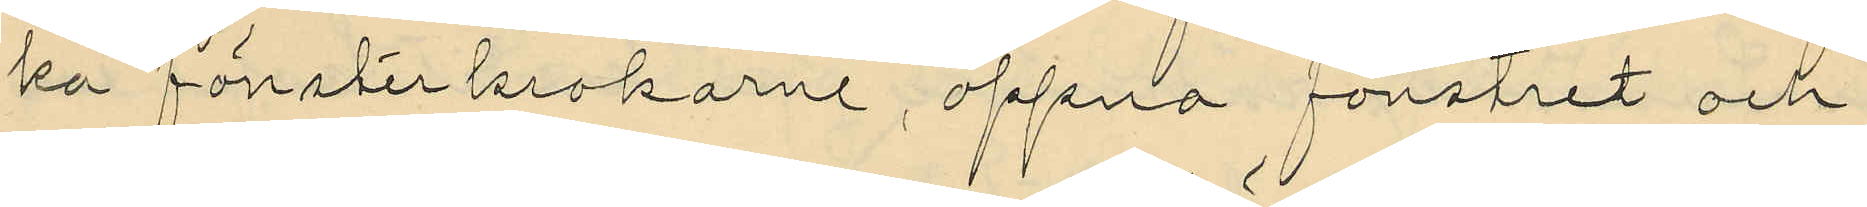ka fönsterkrokarne, öppna fönstret och
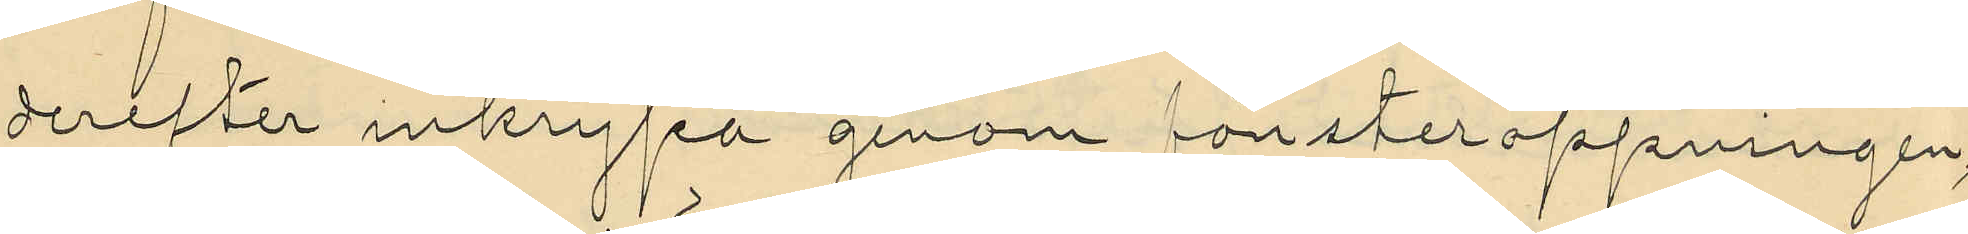derefter inkrypa genom fönsteröppningen,
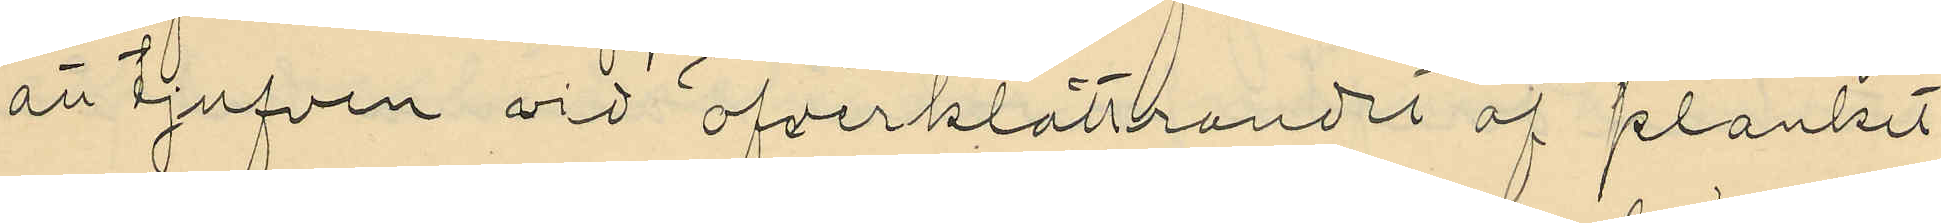att tjufven vid öfverklättrandet af planket
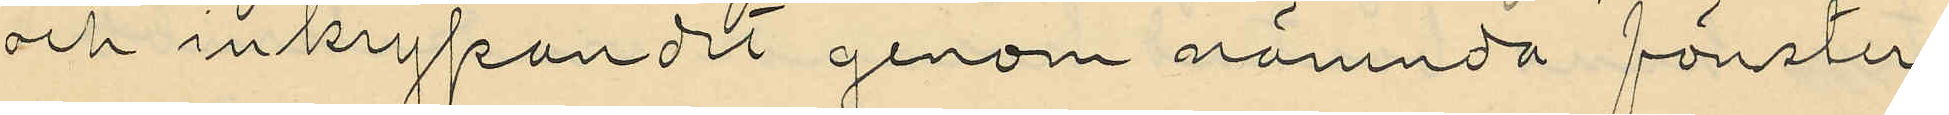och inkrypandet genom nämnda fönster
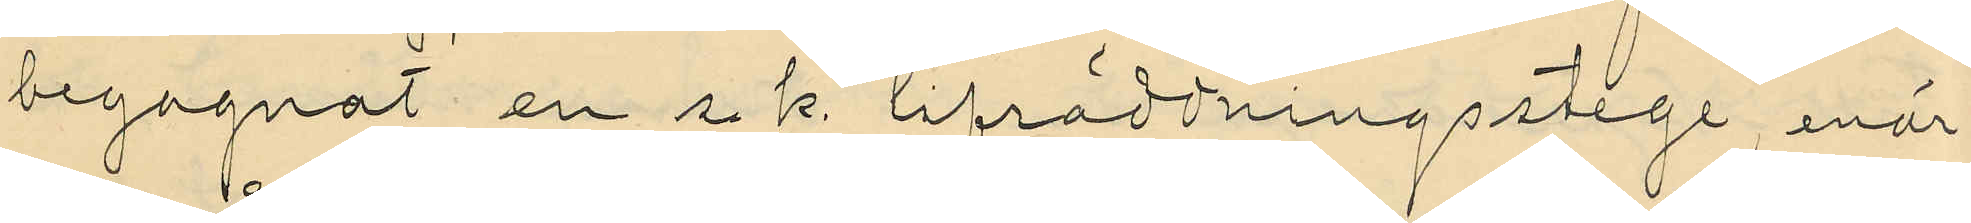begagnat en s. k. lifräddningsstege, enär
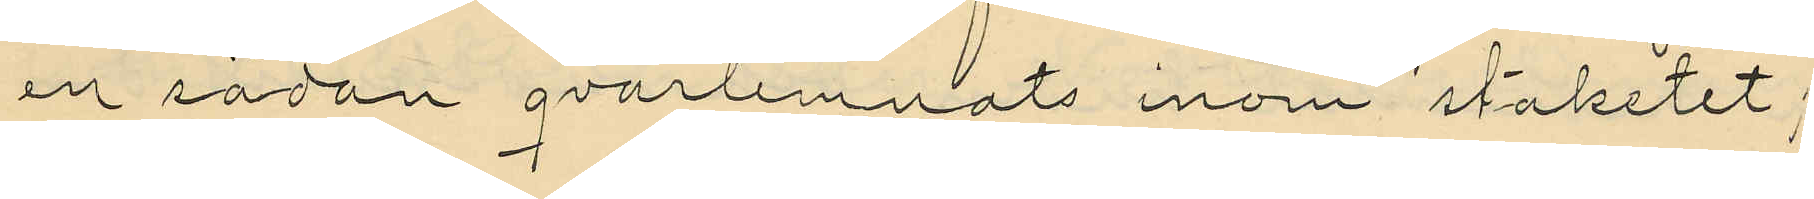en sådan qvarlemnats inom staketet;
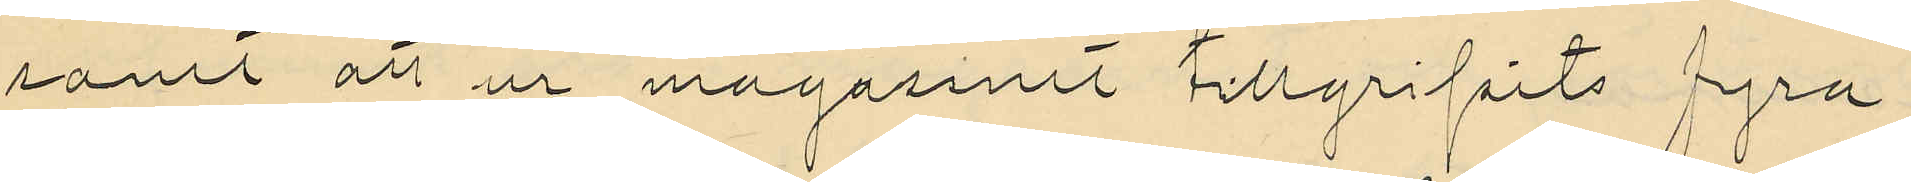samt att ur magasinet tillgripits fyra
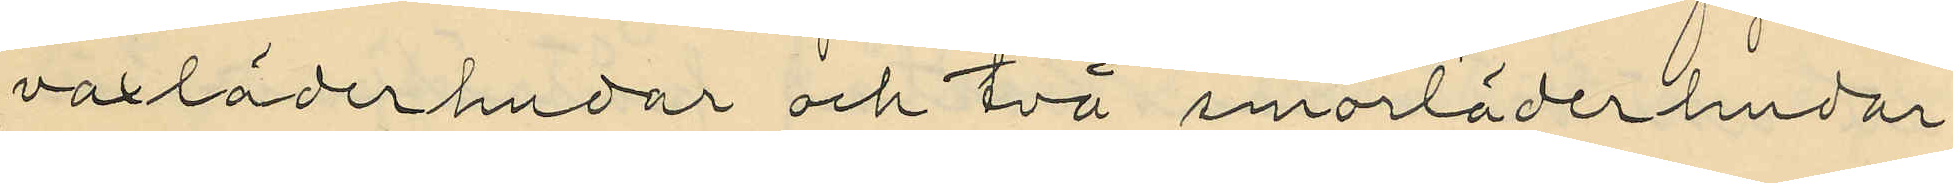vaxläderhudar och två smorläderhudar
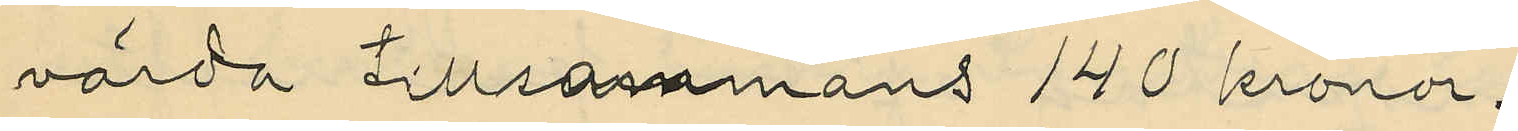värda tillsammans 140 kronor.
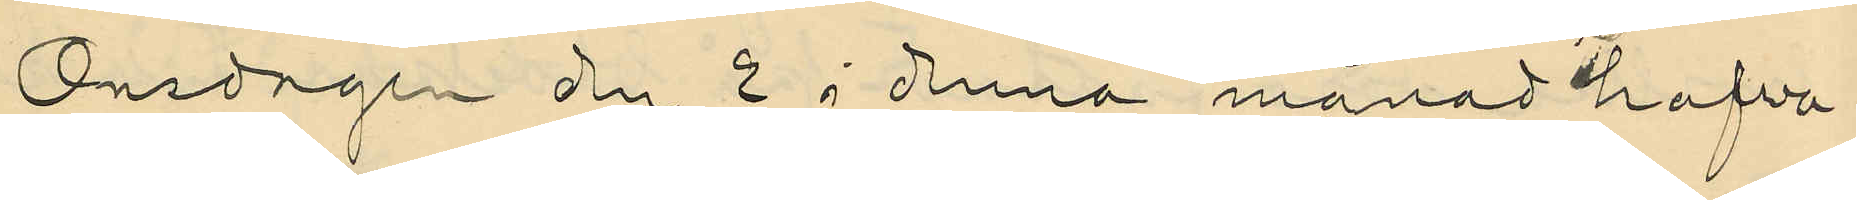Onsdagen den 2 i denna månad hafva
